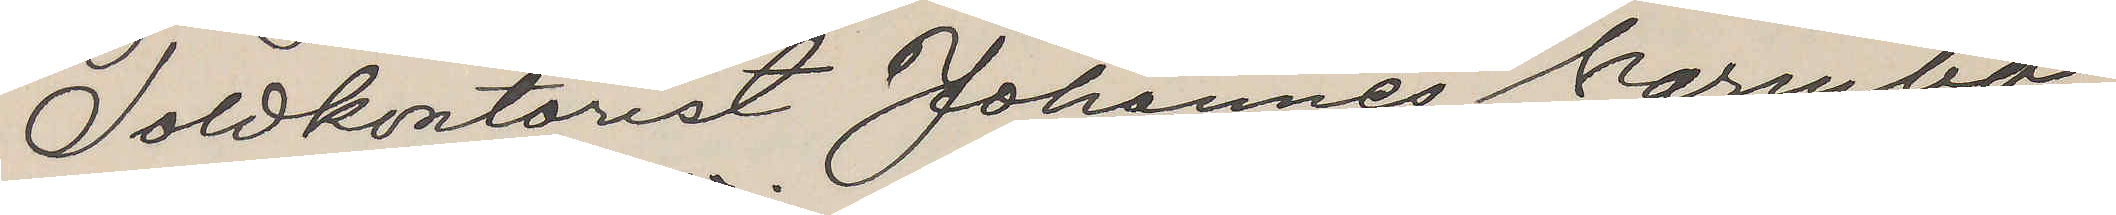Toldkontorist Johannes Warmbo,
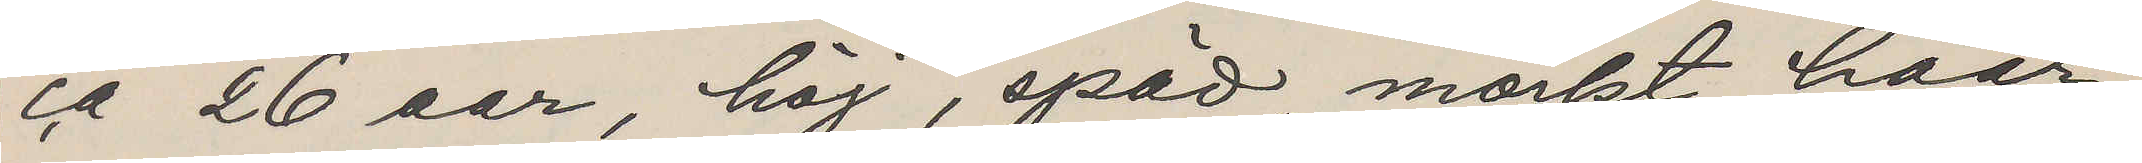ca 26 aar, höj, späd, mörkt haar,
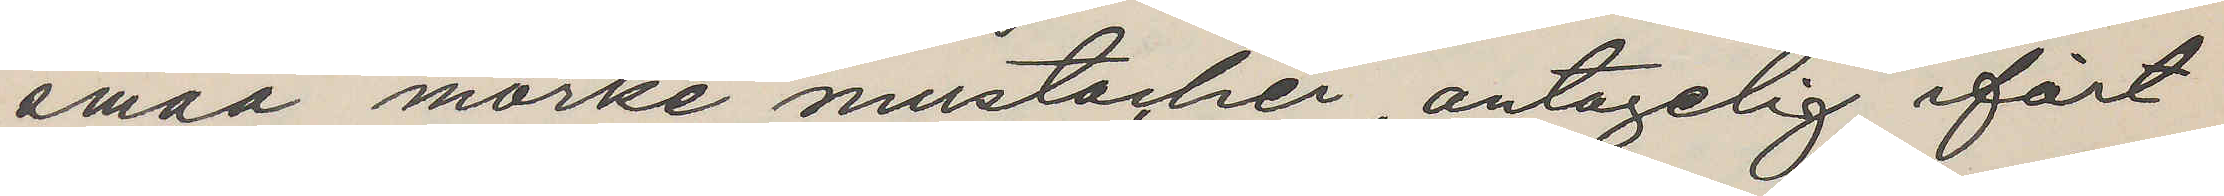smaa mörke mustacher, antagelig ifört
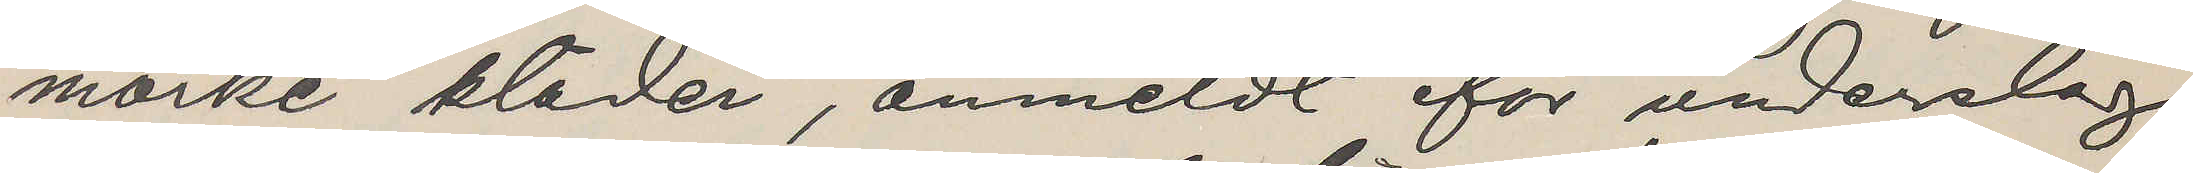mörke kläder, anmeldt for underslag
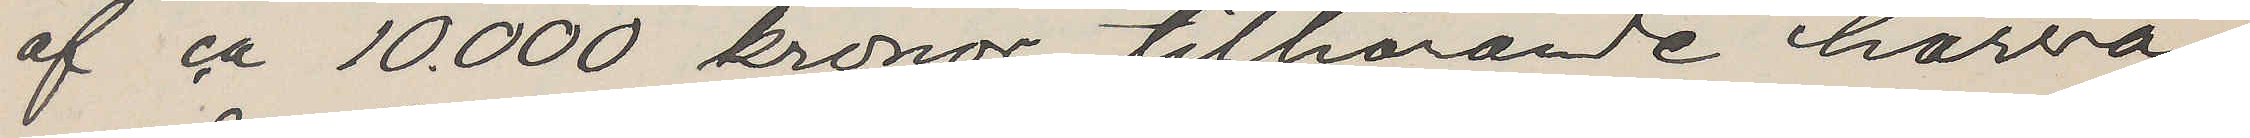af ca 10. 000 kronor, tilhörande härvä¬
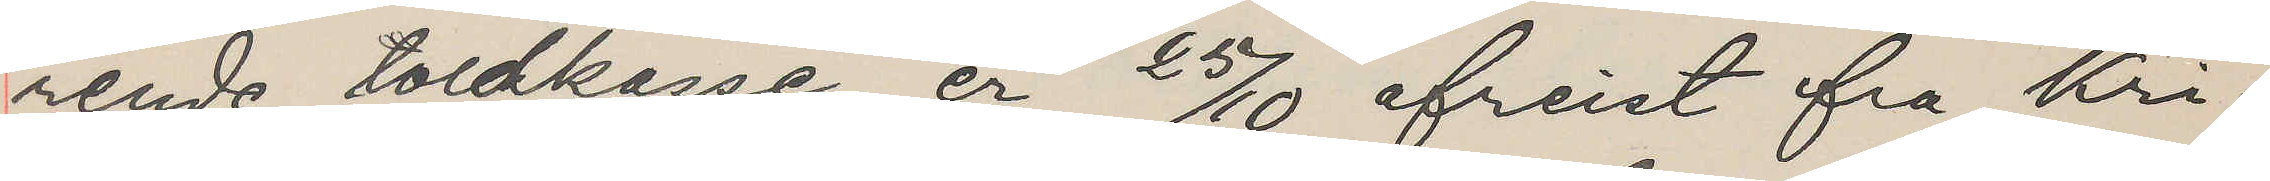rende toldkasse, er 25/10 afreist fra Kri¬
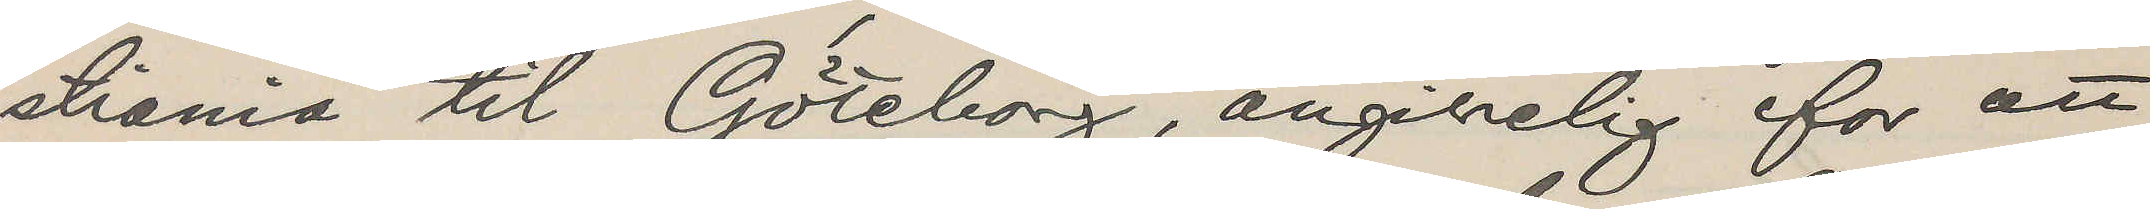stiania til Göteborg, angivelig for att
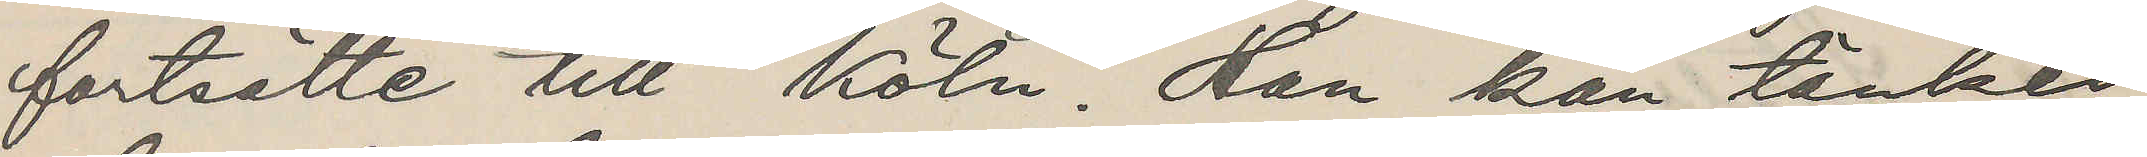fortsätte till Köln. Han kan tänkes
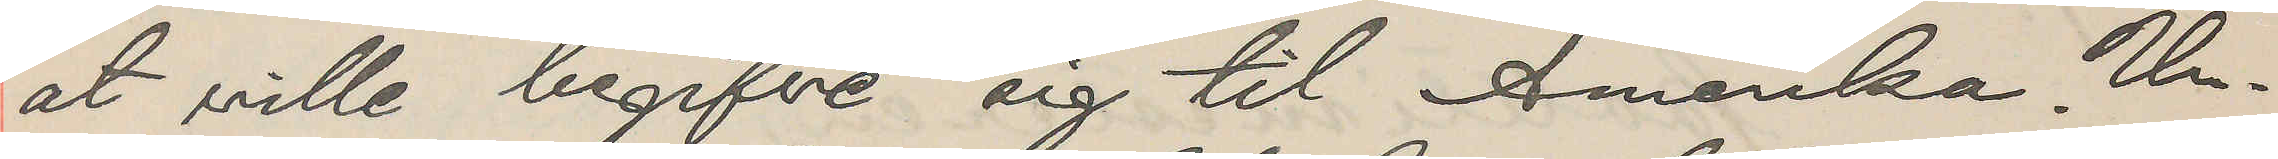at ville begifve sig til Amerika. Un¬
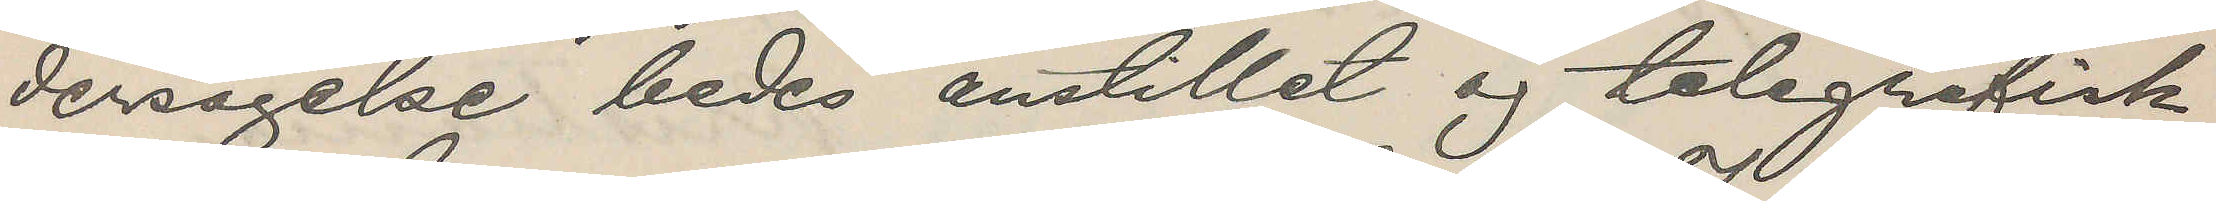dersögelse bedes anstillet og telegrafisk
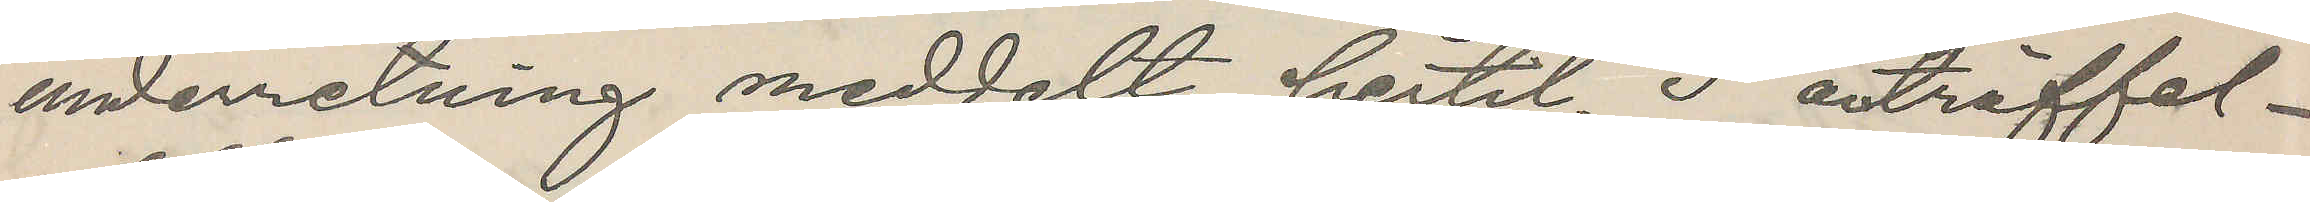underretning meddelt hertil. I anträffel¬
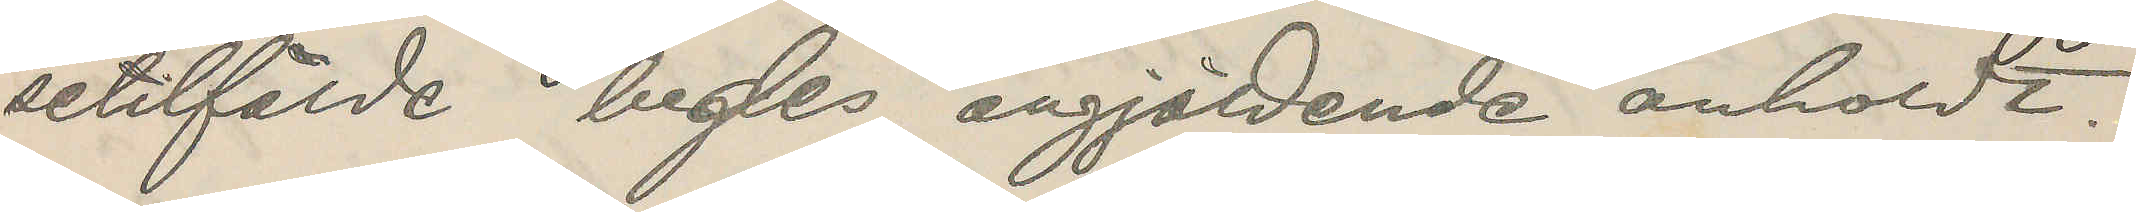setilfälde bedes angjäldende anholdt.
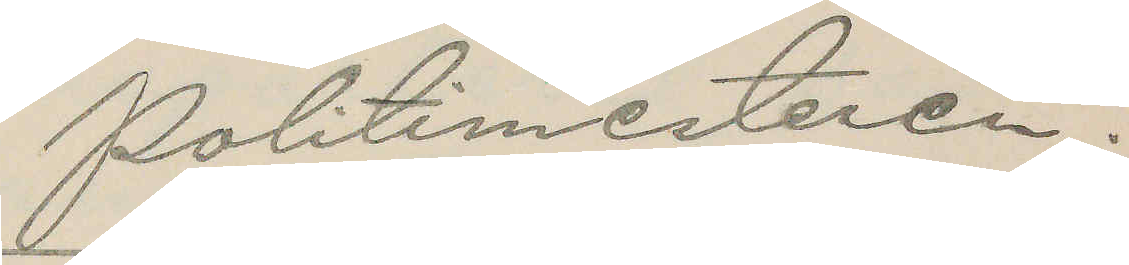Politimesteren.
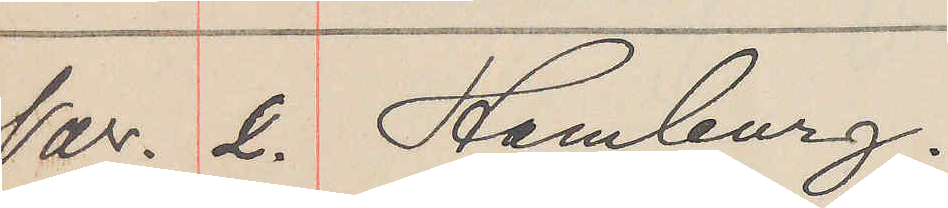Nov. 2. Hamburg.
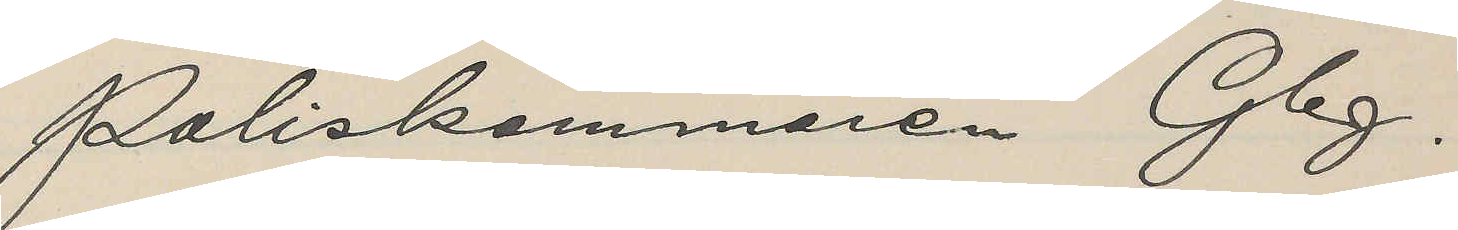Poliskammaren Gbg.
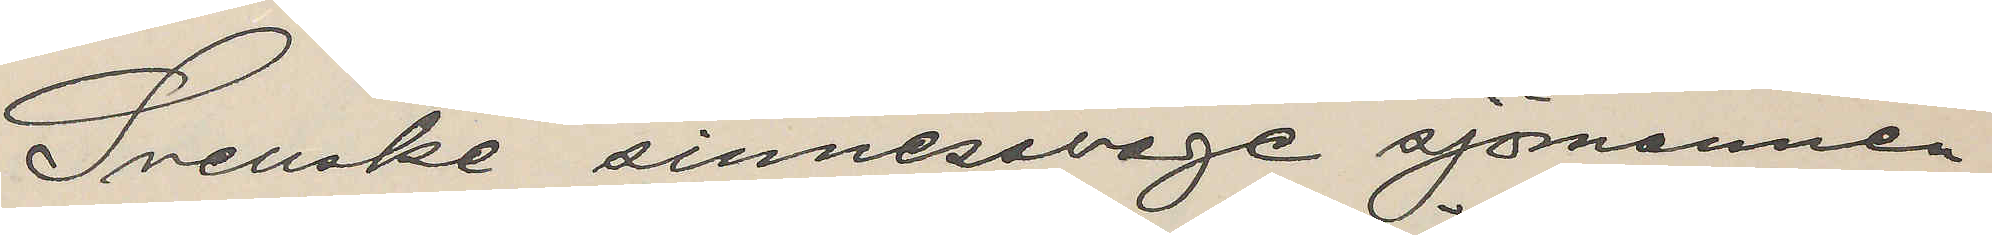Svenske sinnessvage sjömannen
